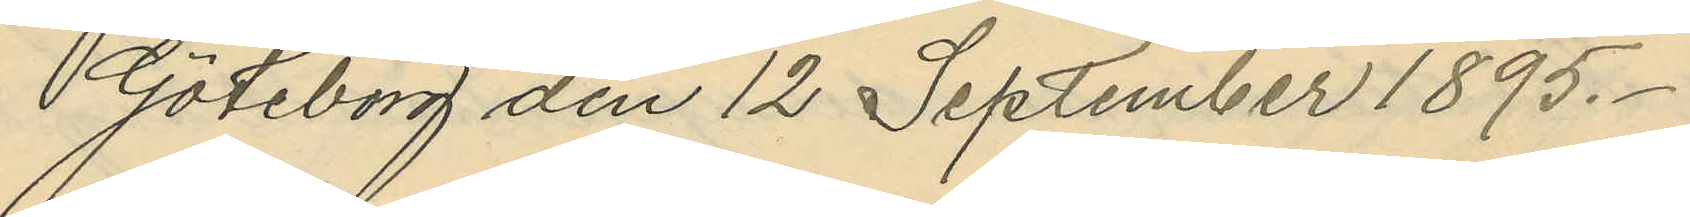Göteborg den 12 September 1895.
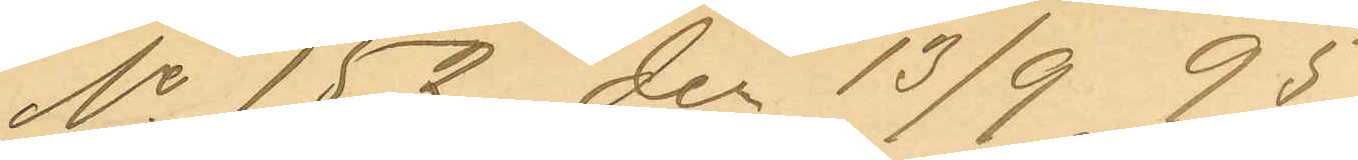No 152 den 13/9 95.
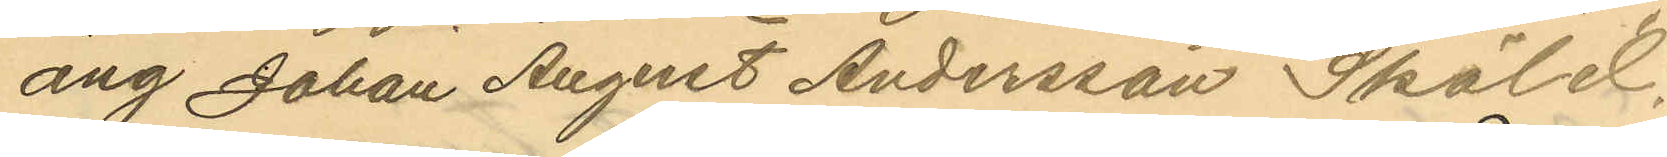ang Johan August Andersson Sköld.
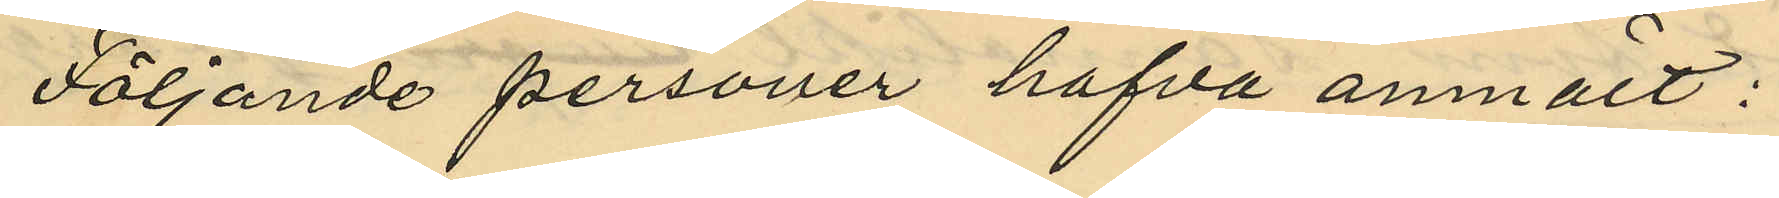Följande personer hafva anmält:
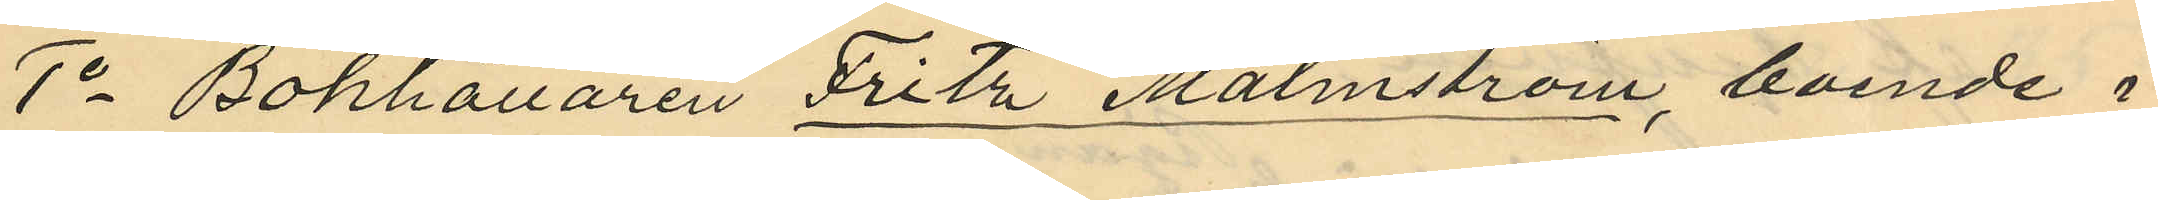1o Bokhållaren Fritz Malmström, boende i
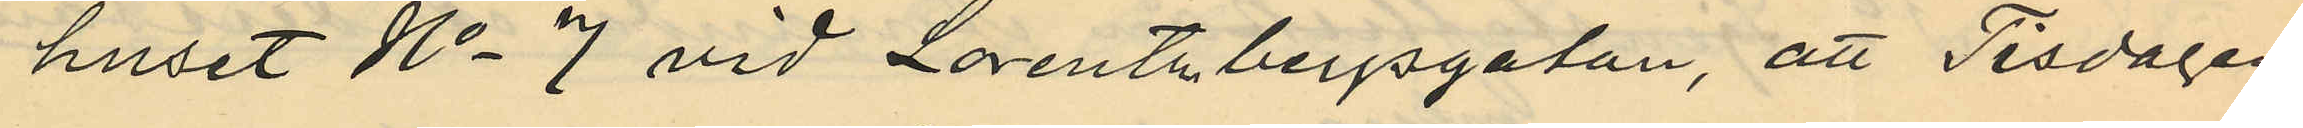huset No 7 vid Lorentzbergsgatan, att Tisdagen
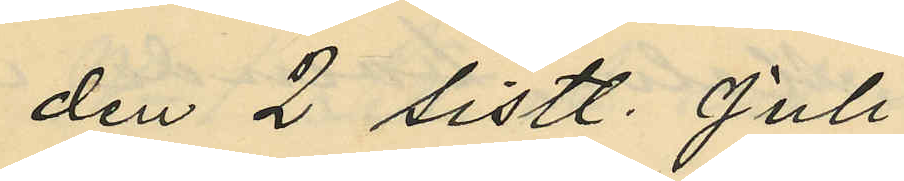den 2 sistl. Juli
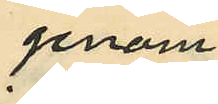genom
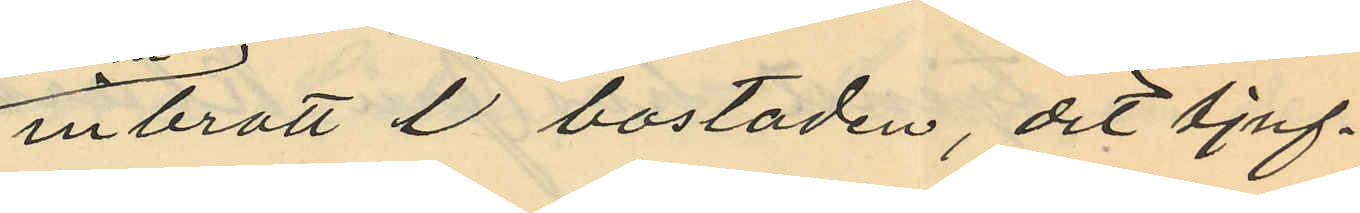inbrott å bostaden, dit tjuf¬
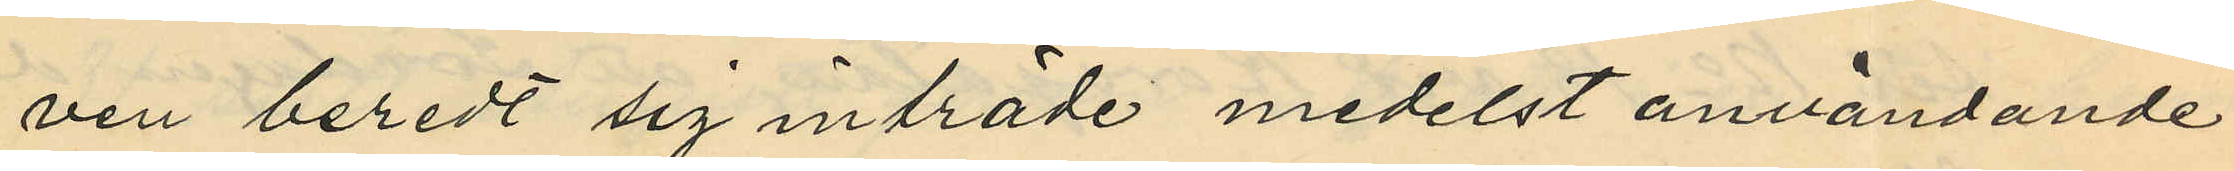ven beredt sig inträde medelst användande
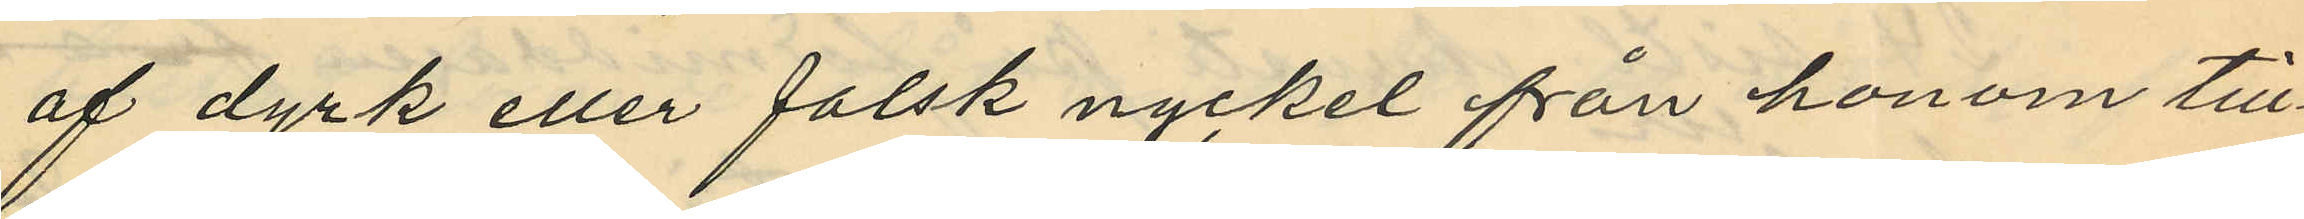af dyrk eller falsk nyckel från honom till¬
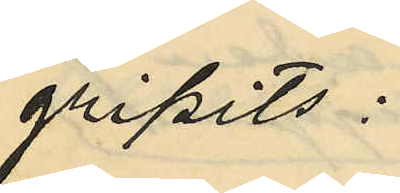gripits:
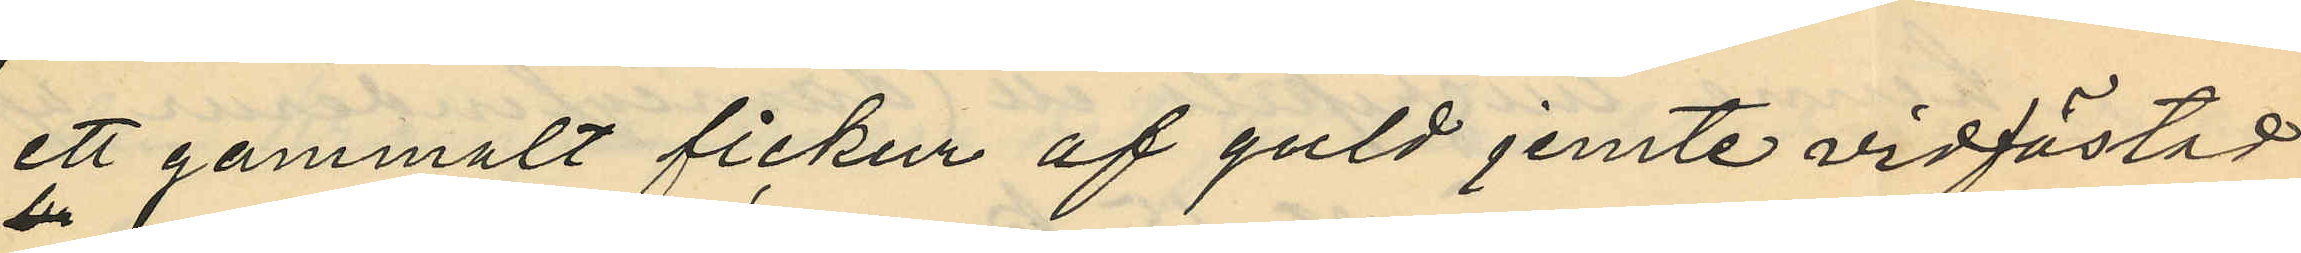ett gammalt fickur af guld jemte vidfästad
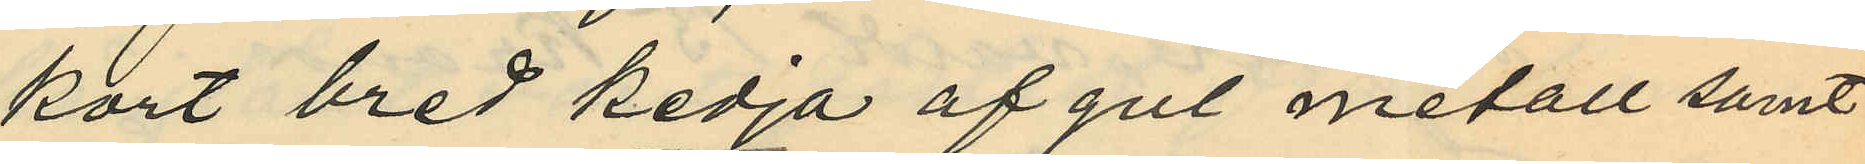kort bred kedja af gul metall samt
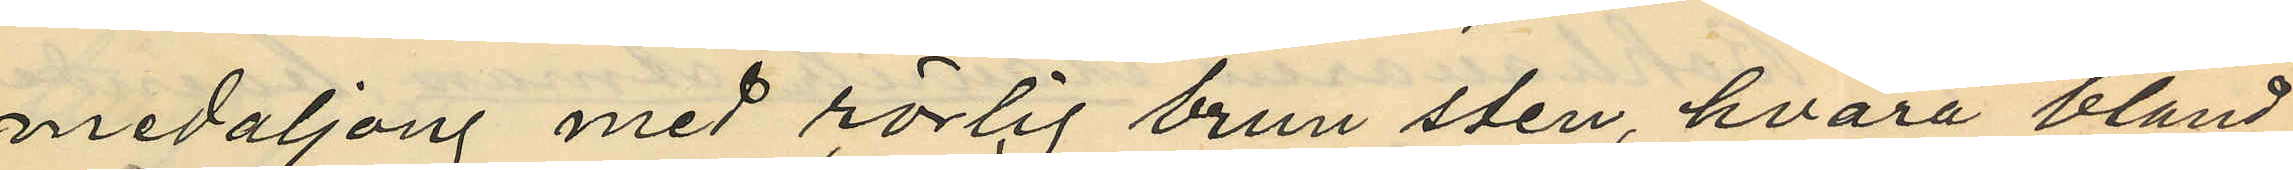medaljong med rörlig brun sten, hvarå bland
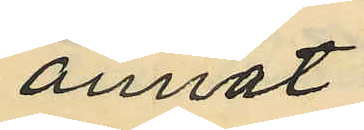annat
